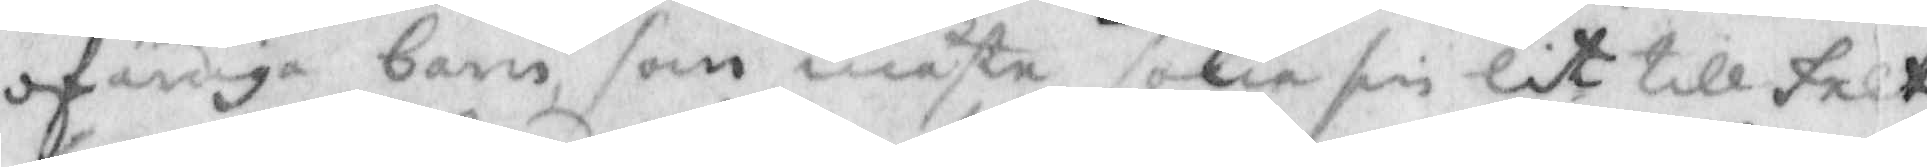ofärdiga barn, som måste sökia sin lit till felt¬
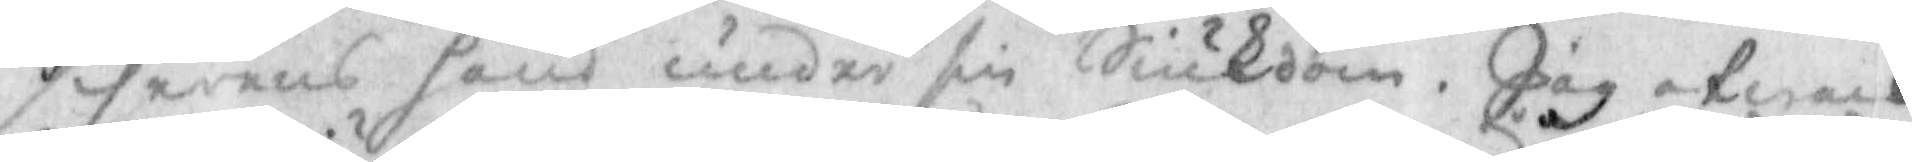serens hand under sin Siukdom. jag afwack¬
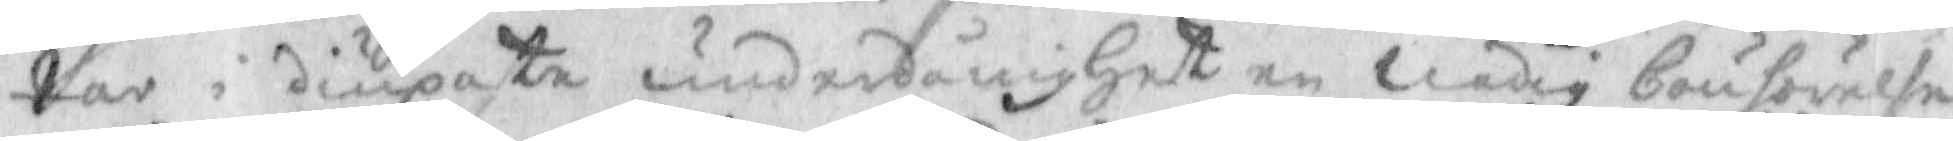tar i diupaste underdånighet en Nådig bönhörelse
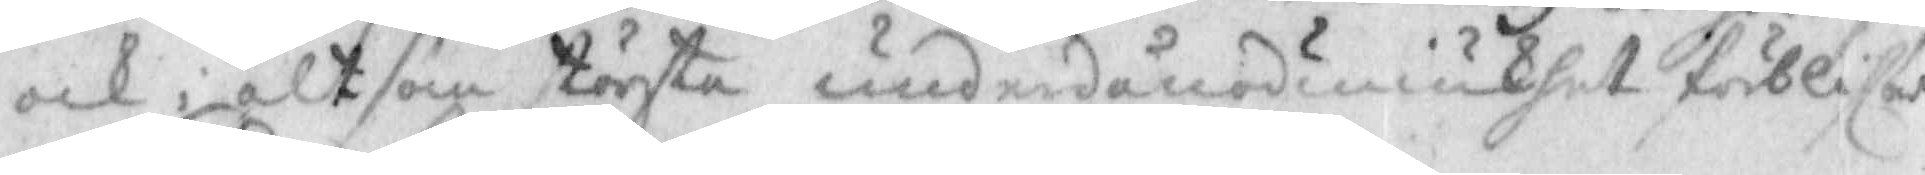och i alt som största underdånödmiukhet förblifwer
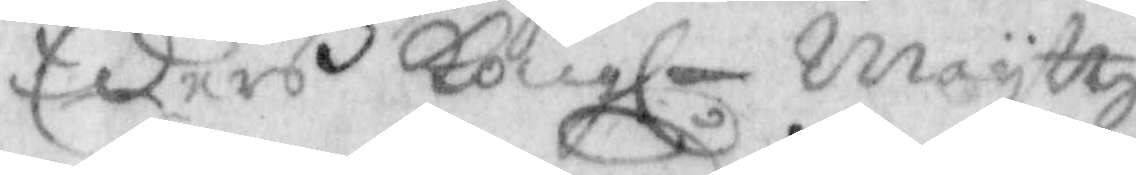eders kongl maysttz
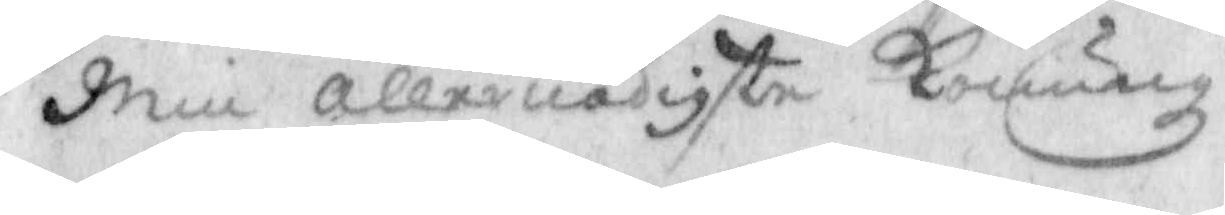Min allernådigste Konung
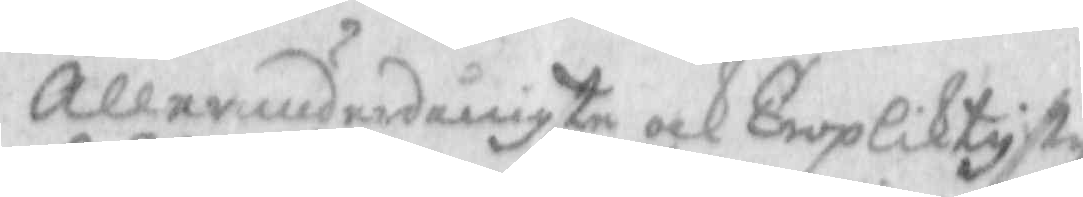Allerunderdånigste och Tropliktigste
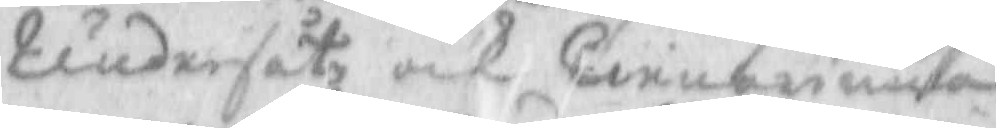Undersåte och Tienarinna
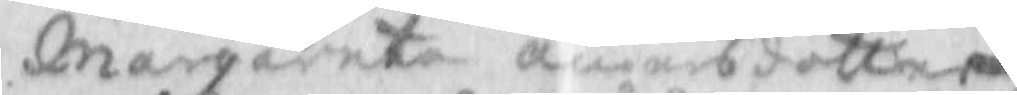Margareta Andersdotter
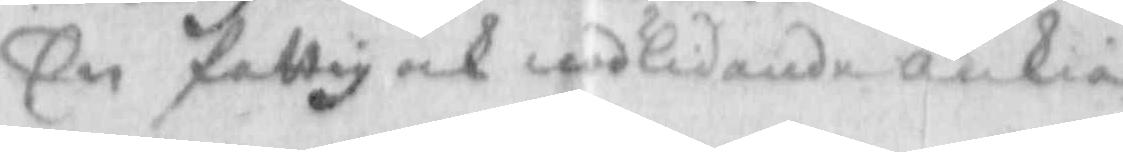En fattig och nödlidande änkia
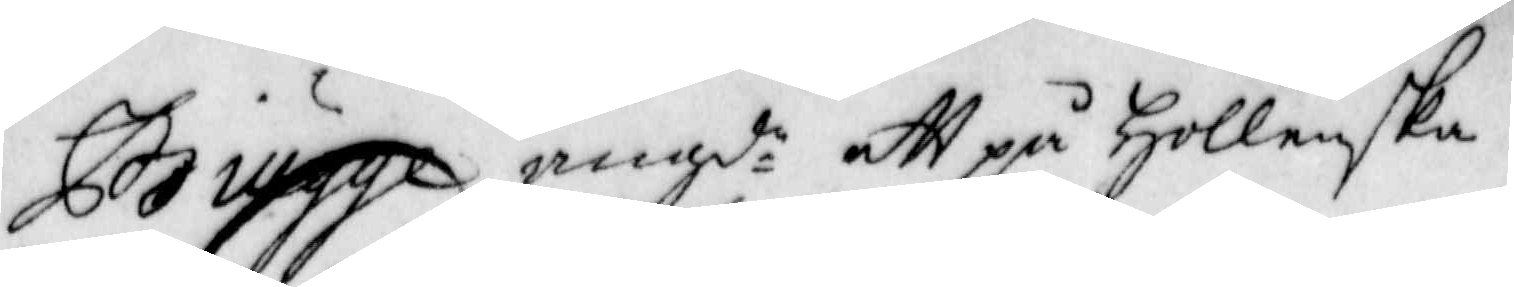Brugge angd:e att på Hollenska
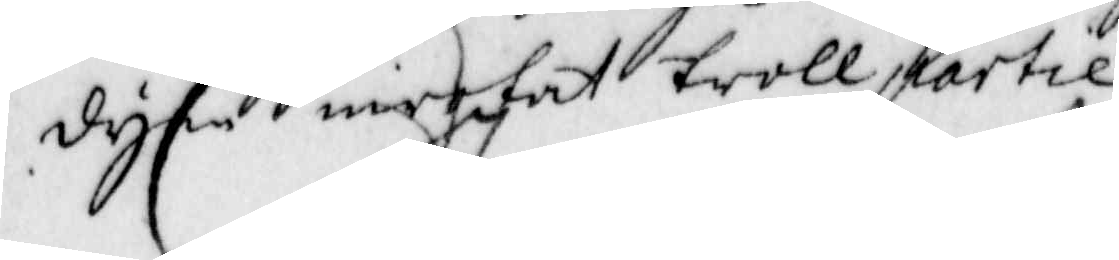dym inrofat trollpartie
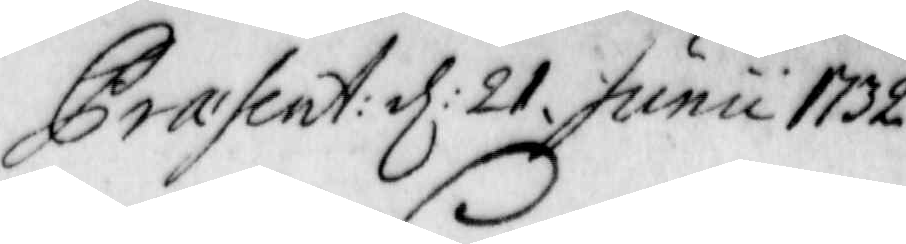Prasent: d: 21. Junu 1732
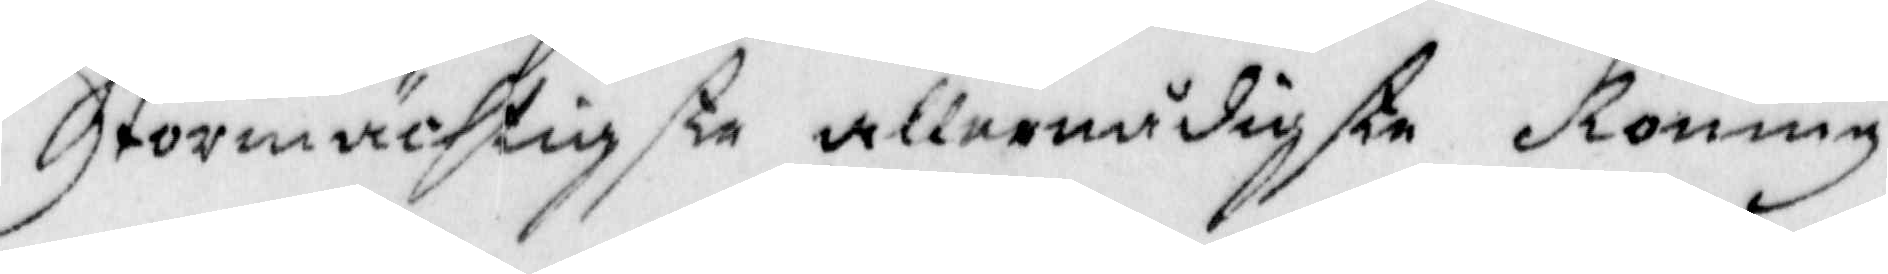Stormächtigste allernådigste Konung
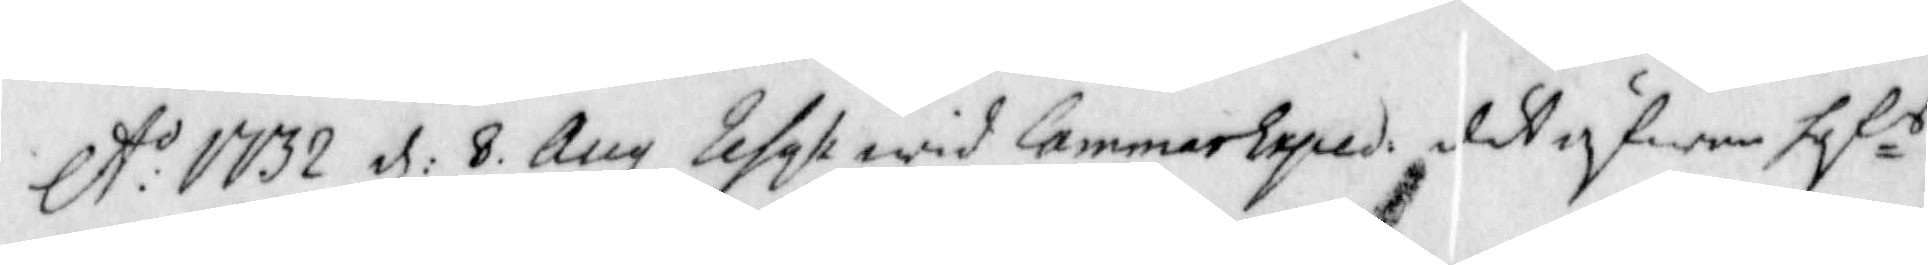A:o 1732 d: 8 Aug Refas wid Cammar Exped: det gifwne sof s
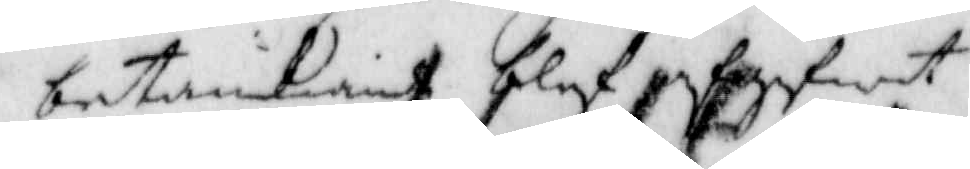betänkiande blef afgifwt
